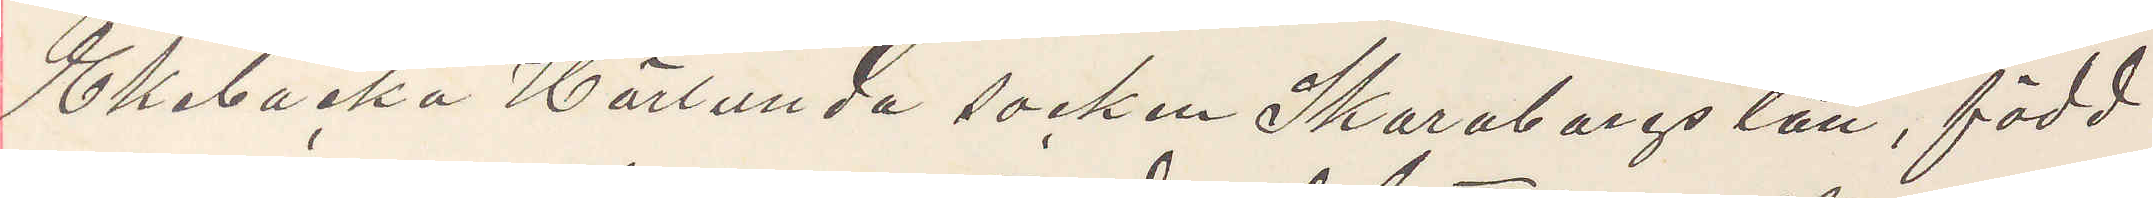Ekebacka Härlunda socken Skaraborgs län, född
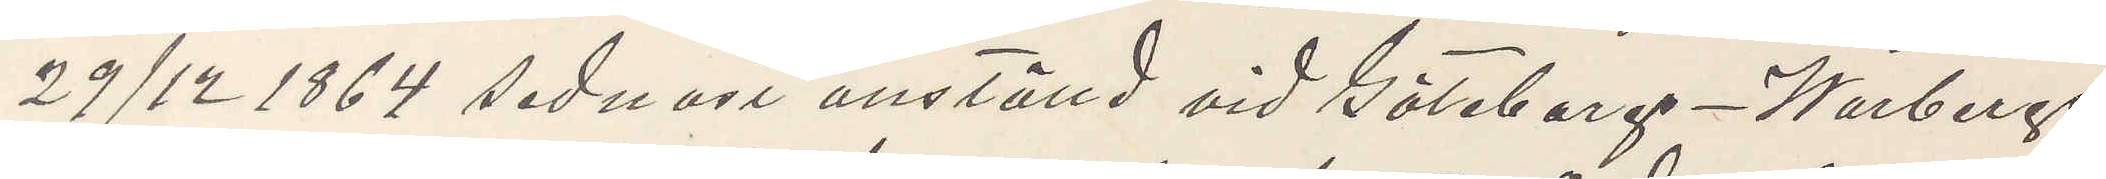29/12 1864 sednast anställd vid Göteborg - Warbergs¬
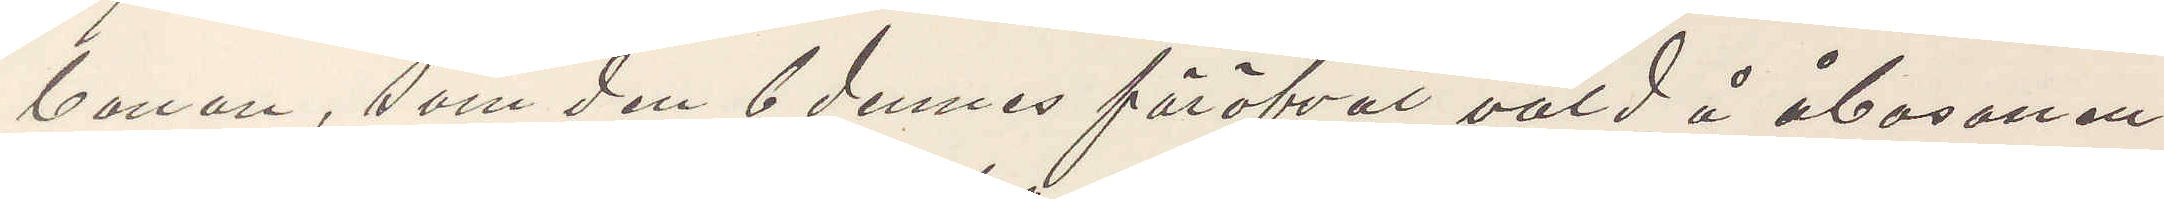banan, som den 6 dennes föröfvat våld å åbosonen
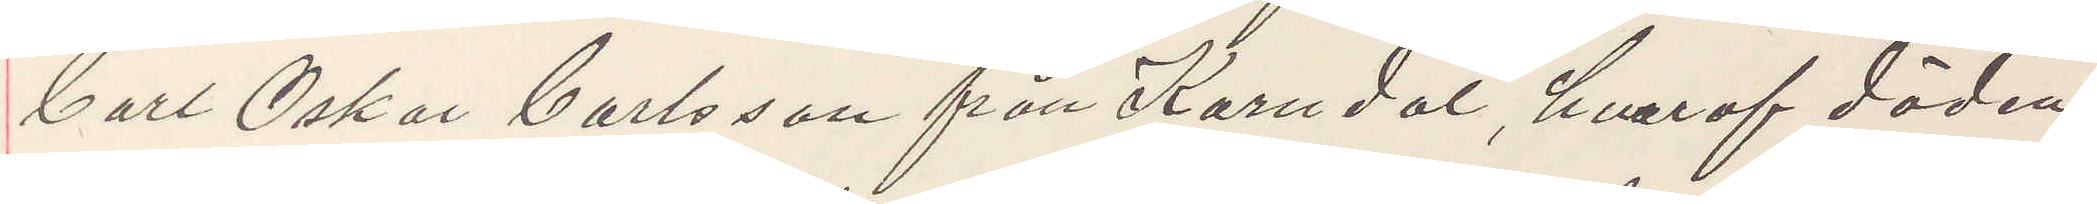Carl Oskar Carlsson från Korndal, hvaraf döden
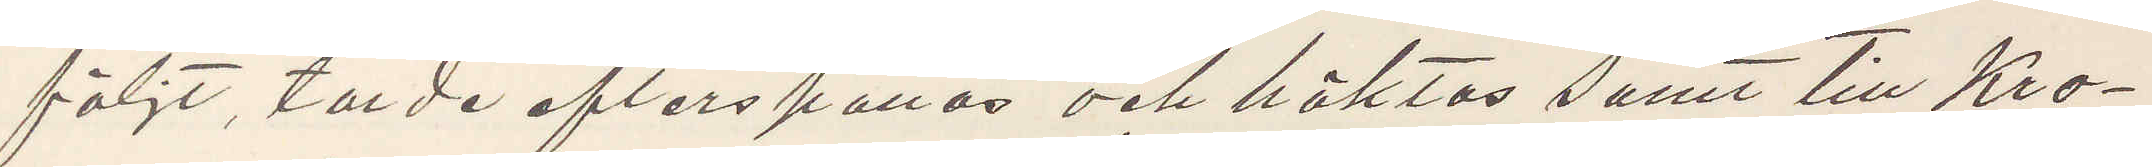följt, torde efterspanas och häktas samt till Kro¬
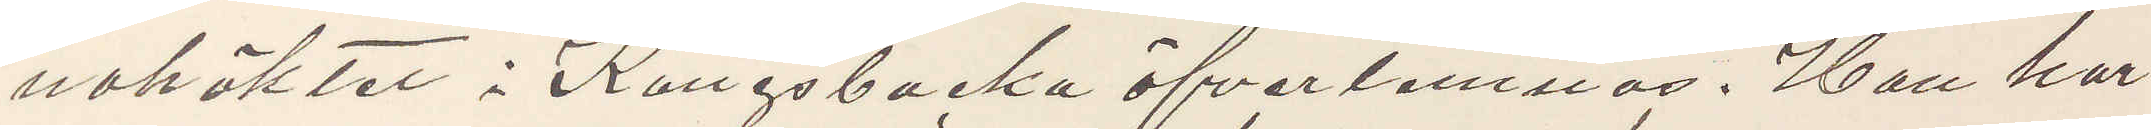nohäktet i Kungsbacka öfverlemnas. Han har
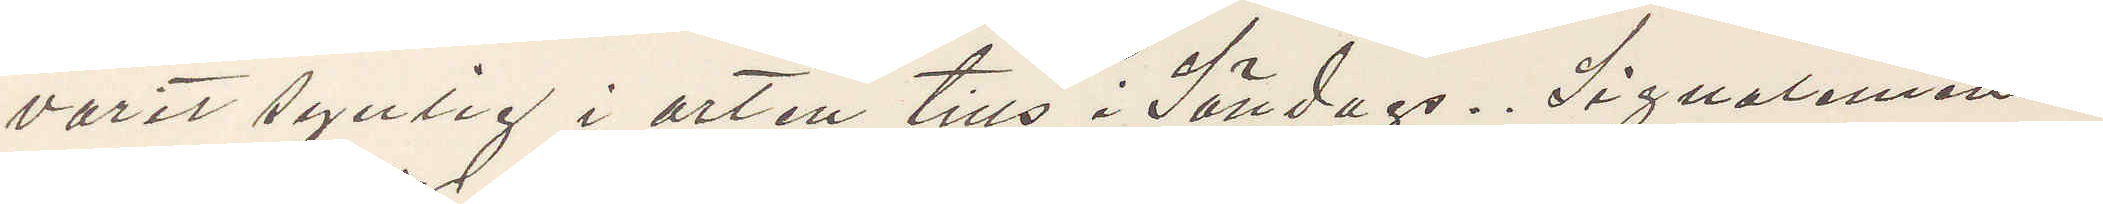varit synlig i orten tills i Söndags. Signalement:
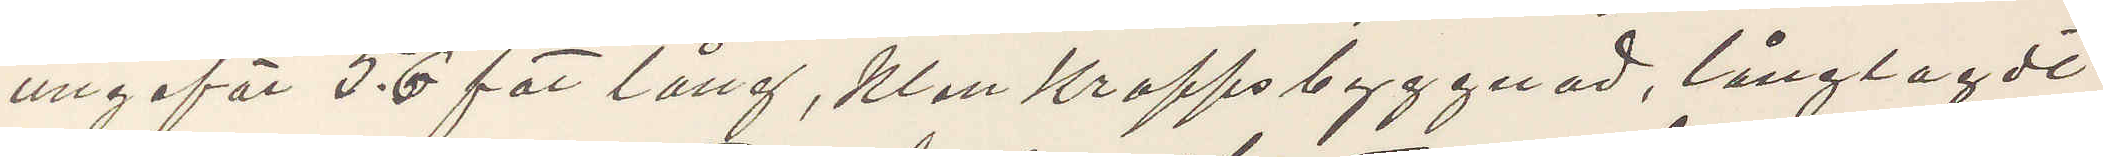ungeför 5.6 fot lång, klen kroppsbyggnad, långlagdt
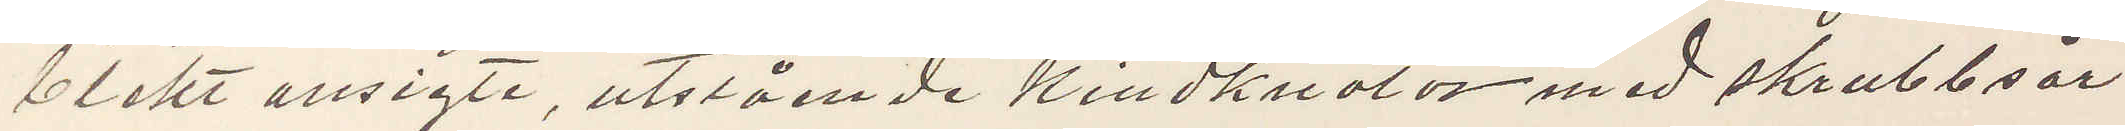blekt ansigte, utstående kindknotor med skrubbsår
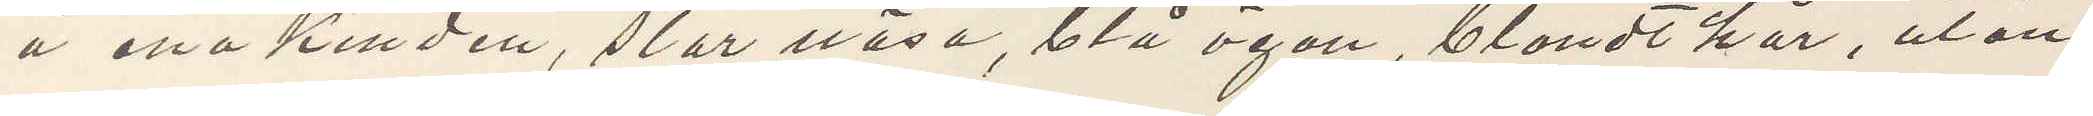å ena kinden, stor näsa, blå ögon, blondt hår, utan
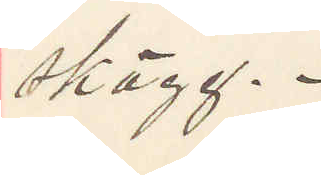Skägg.
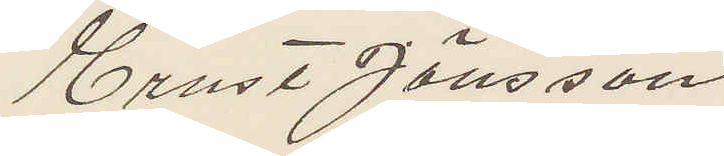Ernst Jönsson
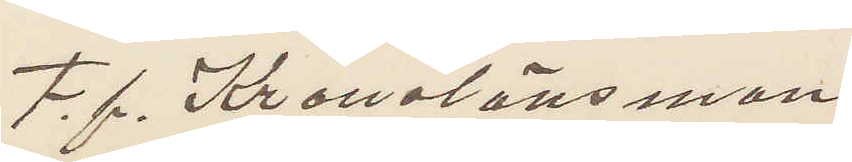F.f. Kronolänsman
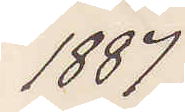1887
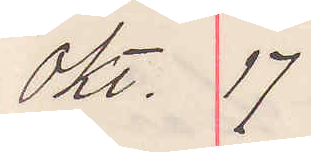 okt. 17
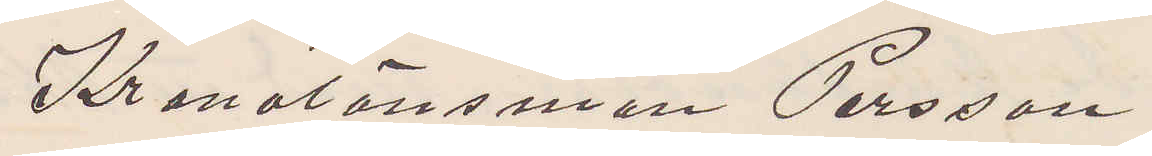Kronolänsman Persson
